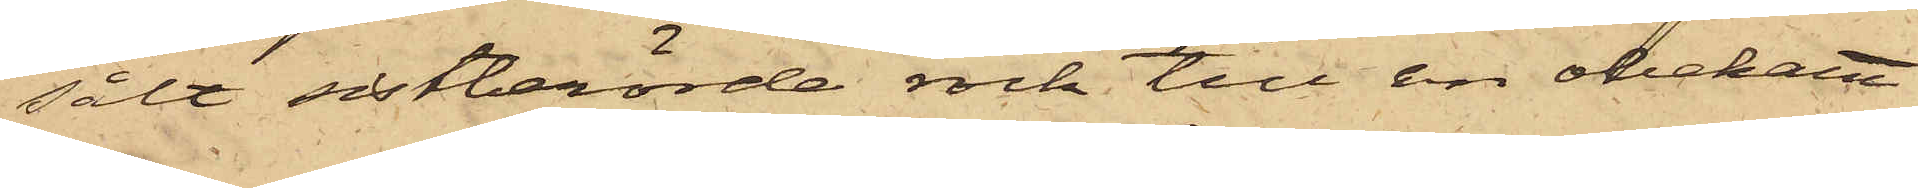sålt sistberörde rock till en obekant
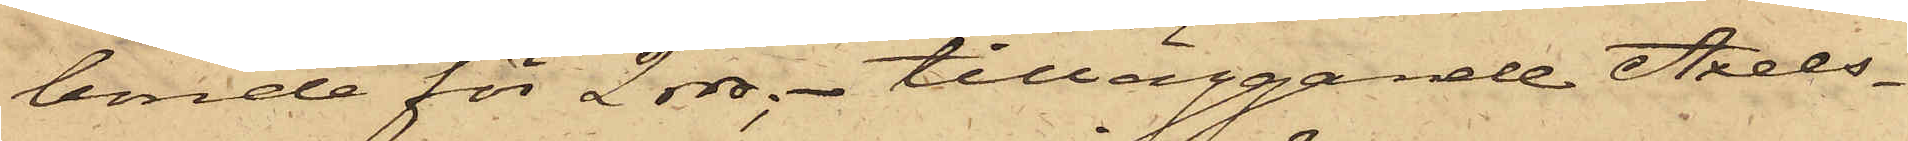bonde för 2 rdr; - tilläggande Axels¬
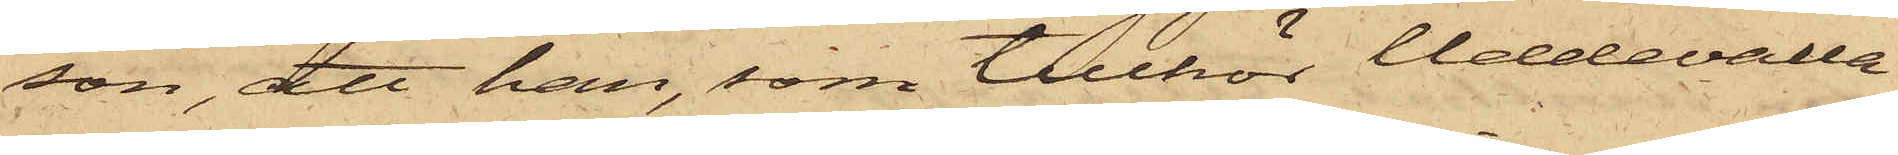son, att han, som tillhör Uddevalla
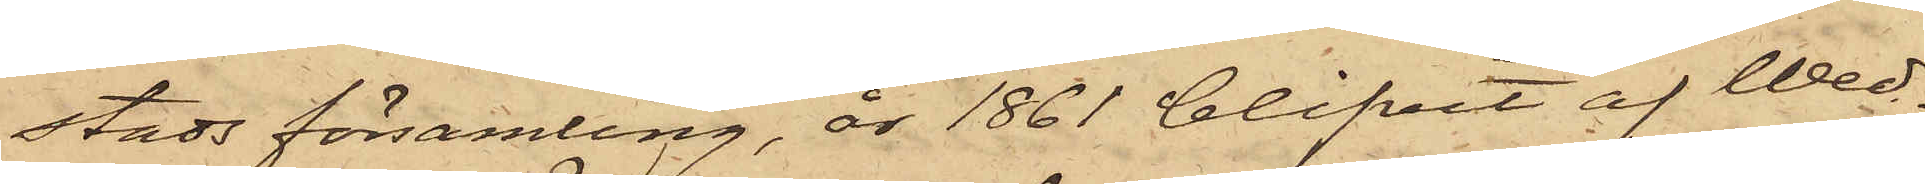Stads församling, år 1861 blifvit af Wed¬
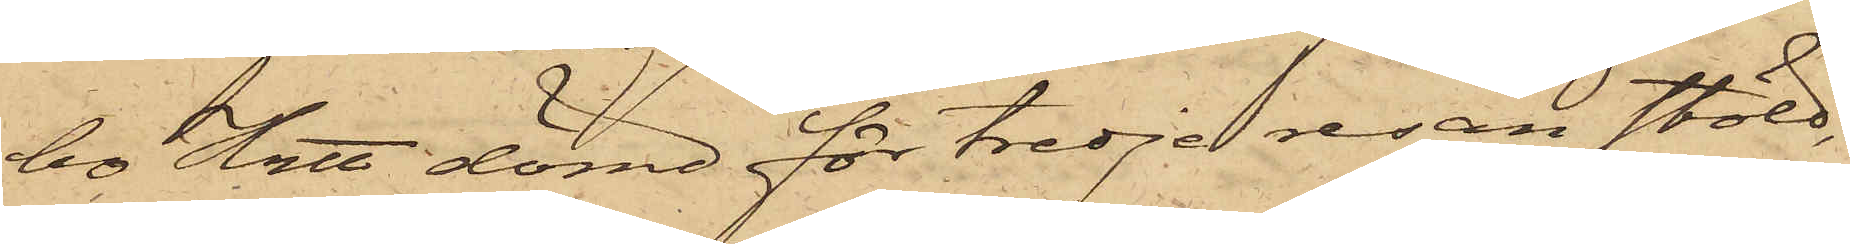bo Hrtt dömd för tredje resan stöld,
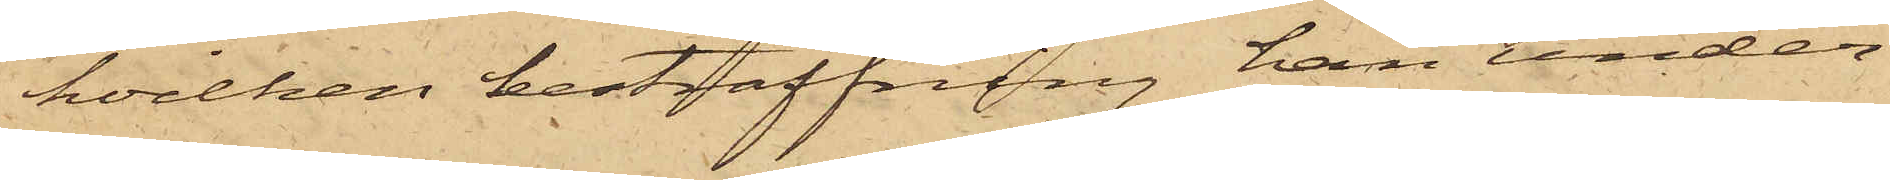hvilken bestraffning han under¬
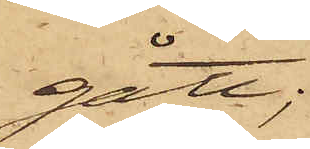gått;
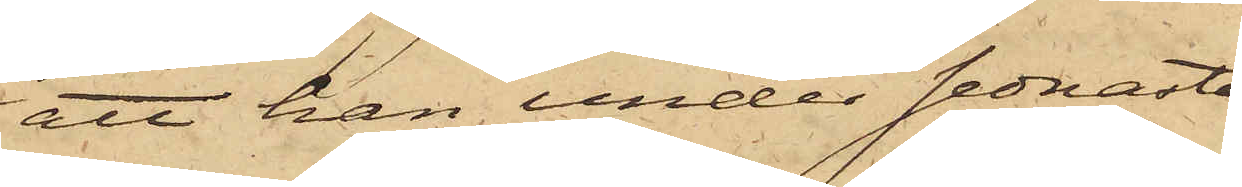att han under sednaste
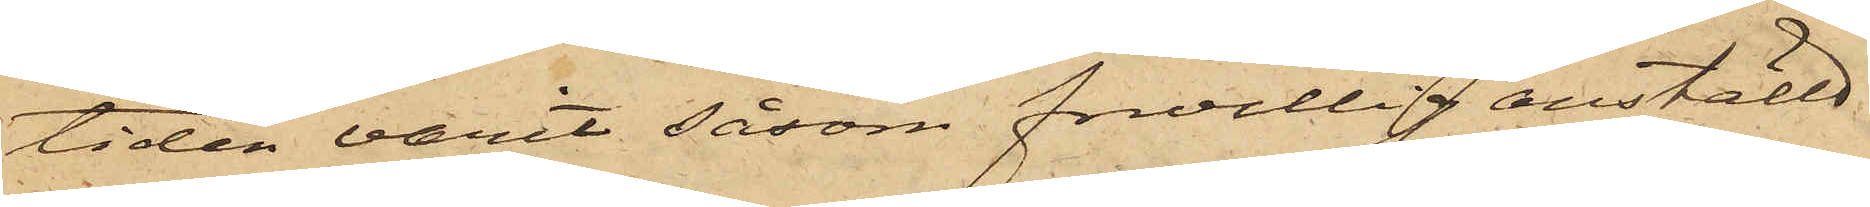tiden varit såsom frivillig anställd
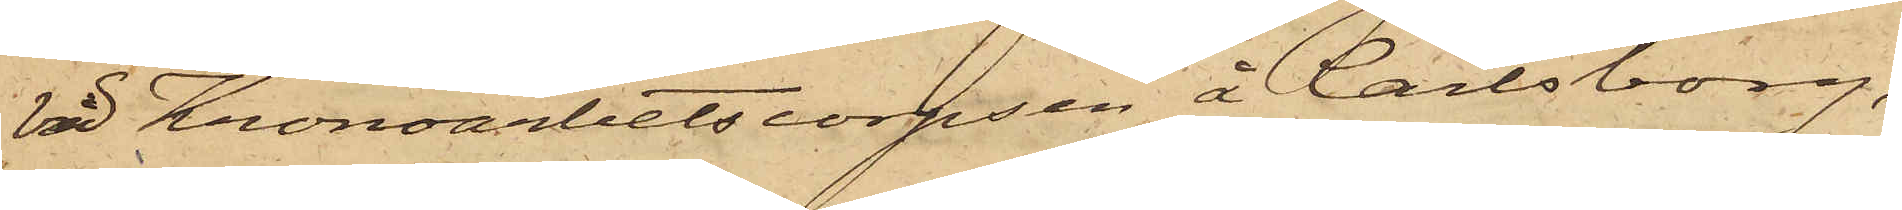vid Kronoarbetscorpsen å Carlsborg,
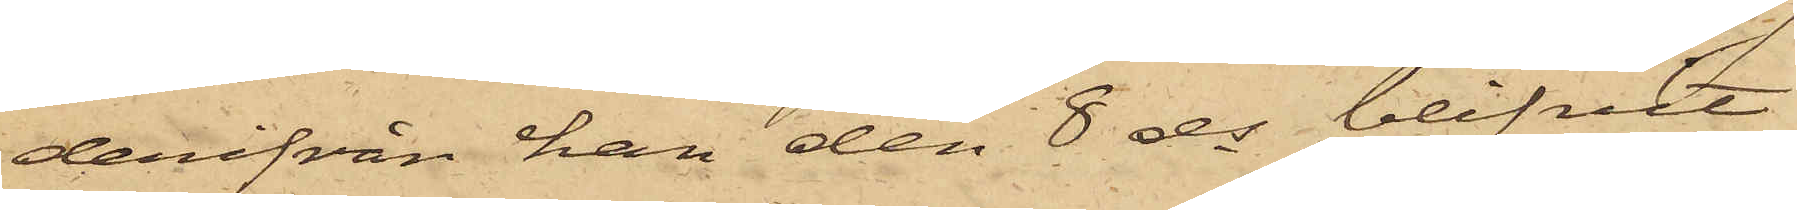derifrån han den 8 ds blifvit
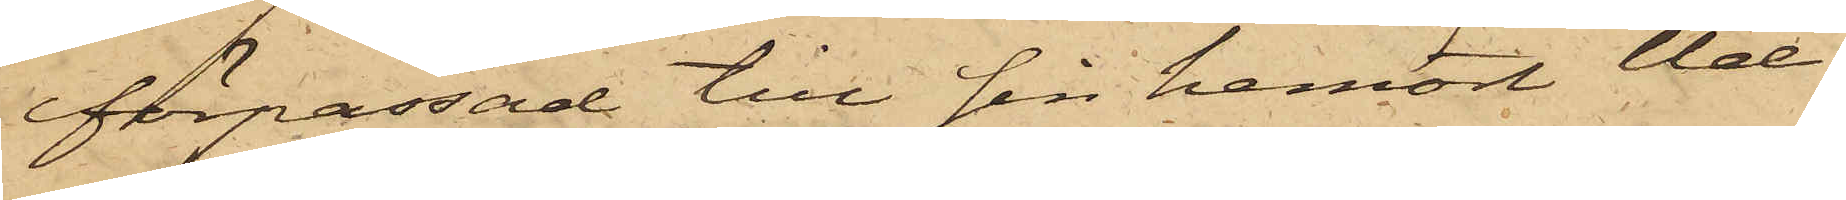förpassad till sin hemort Ud¬
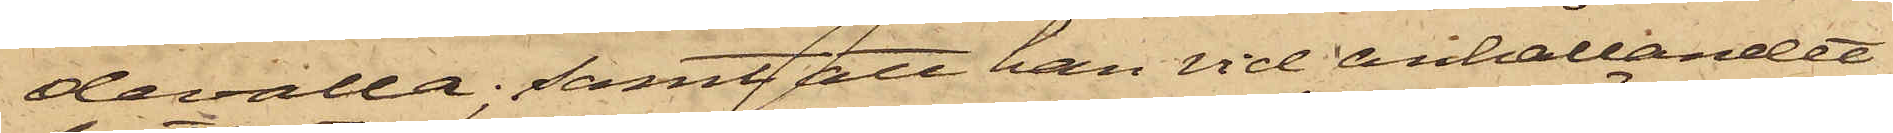devalla; samt att han vid anhållandet
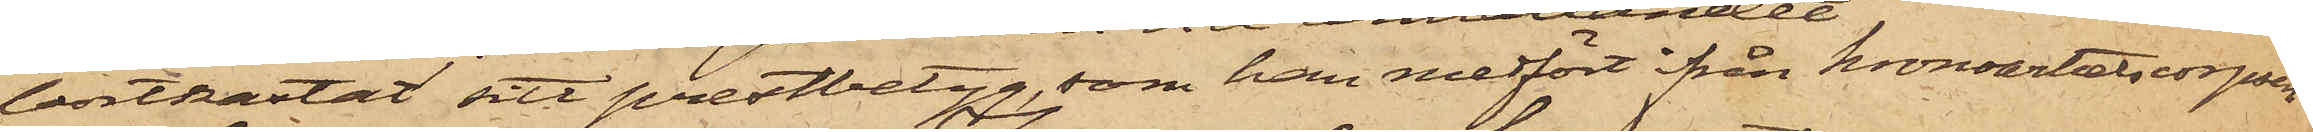bortkastat sitt prestbetyg, som han medfört från Kronoarbetscorpsen
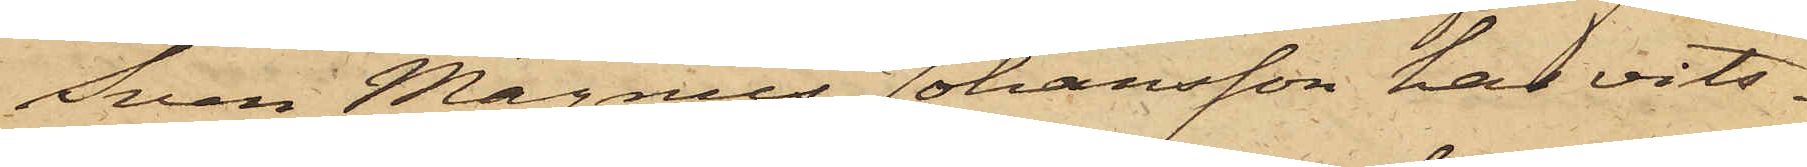Sven Magnus Johansson har vits¬
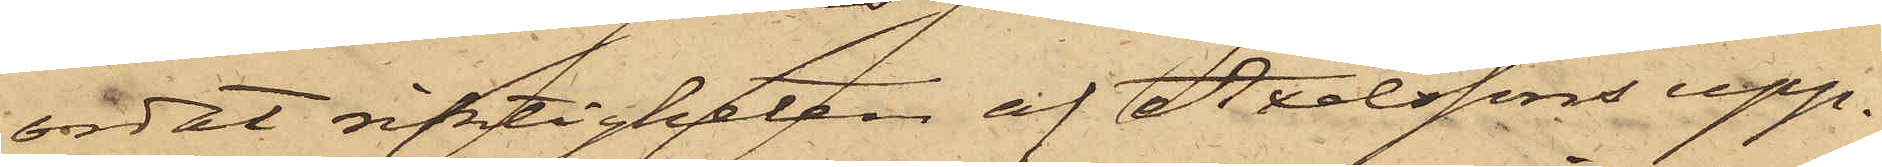ordat riktigheten af Axelssons upp¬
